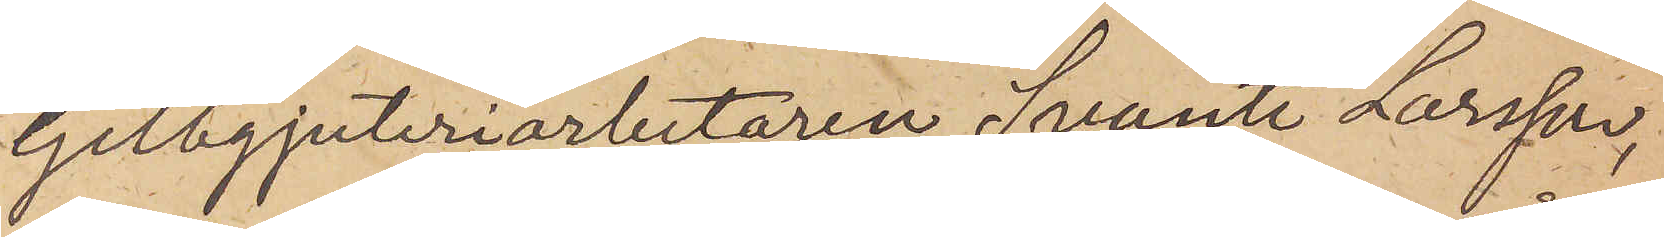Gelbgjuteriarbetaren Svante Larsson,
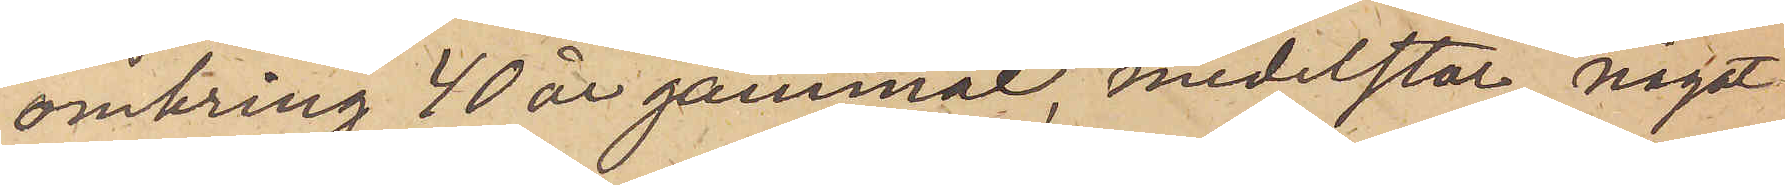omkring 40 år gammal, medelstor, något
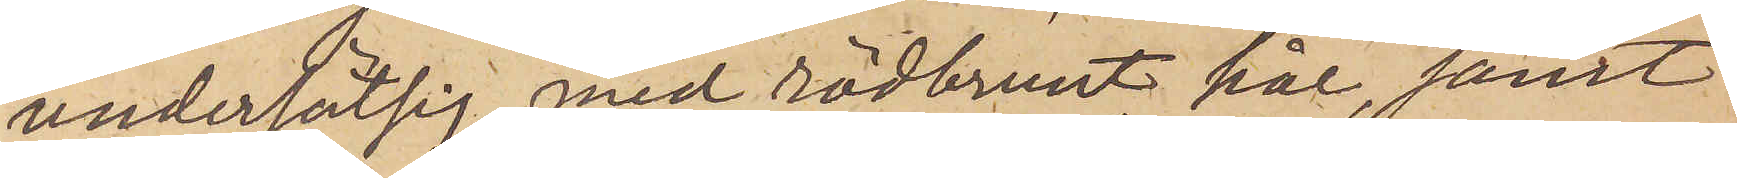undersätsig, med rödbrunt hår, samt
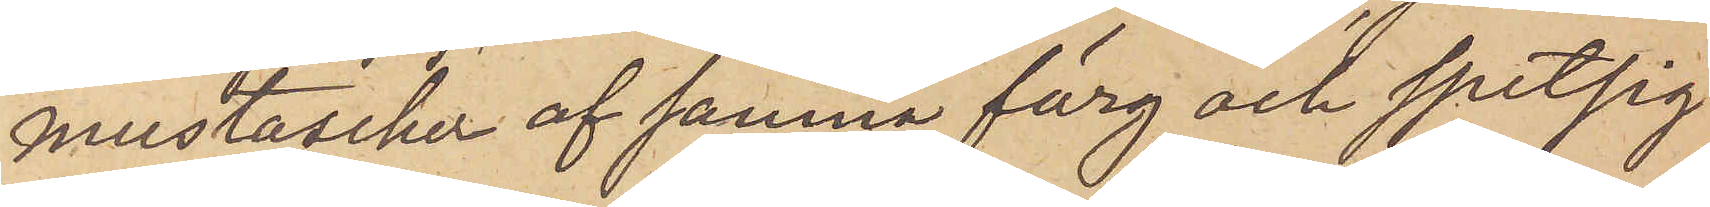mustascher af samma färg och spetsig
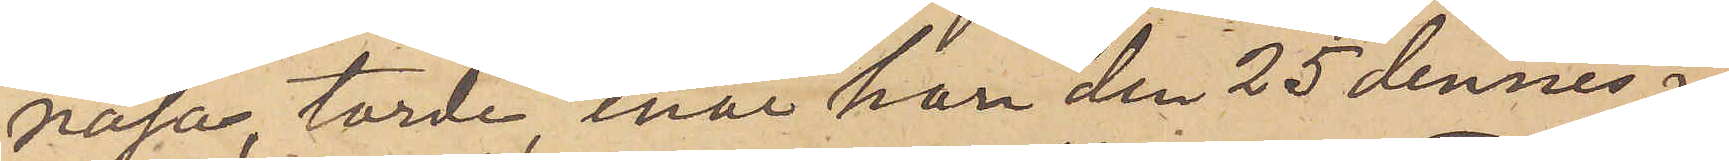näsa, torde, enär han den 25 dennes i
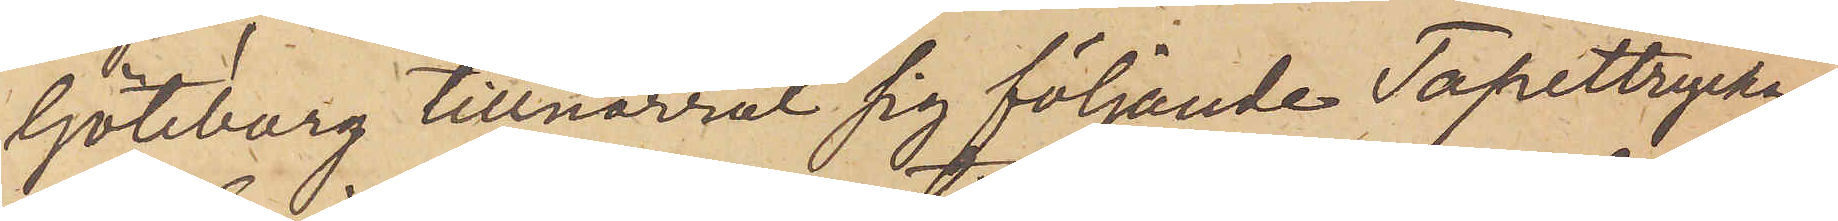Göteborg tillnarrat sig följande Tapettrycka¬
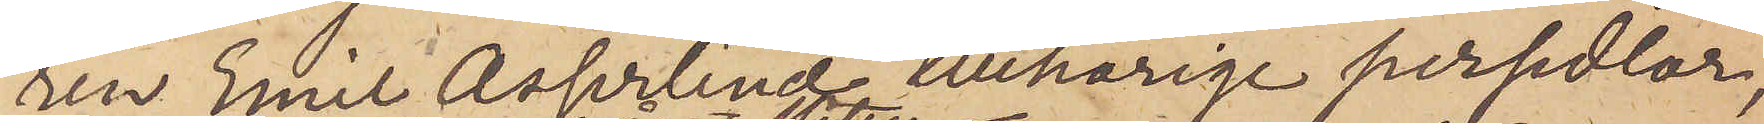ren Emil Asserlind tillhörige persedlar,
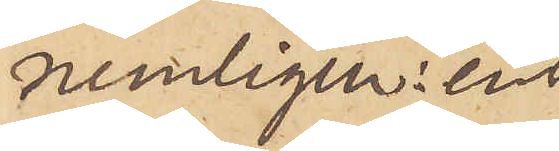nemligen: en
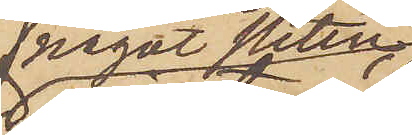något sliten
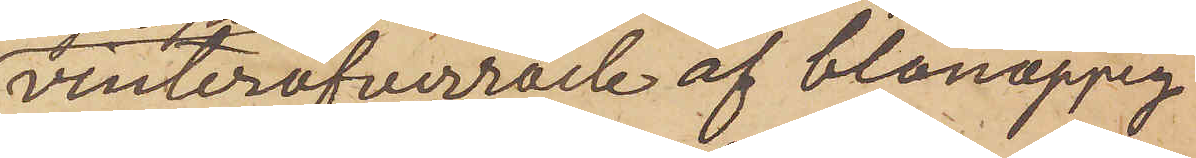vinteröfverrock af blånoppig
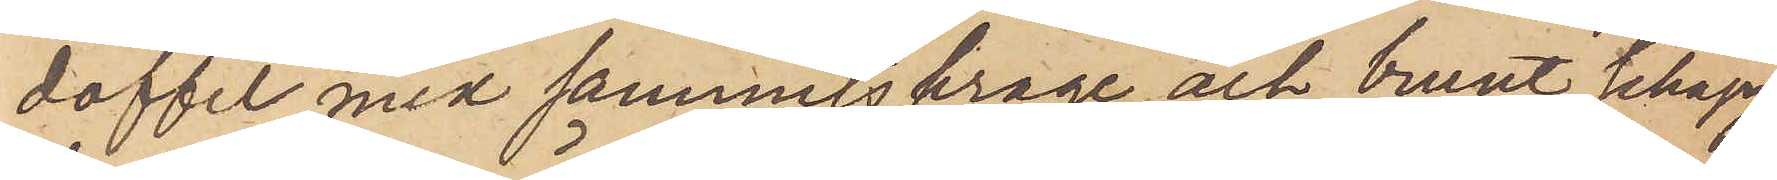doffel med sammetskrage och brunt schagg¬
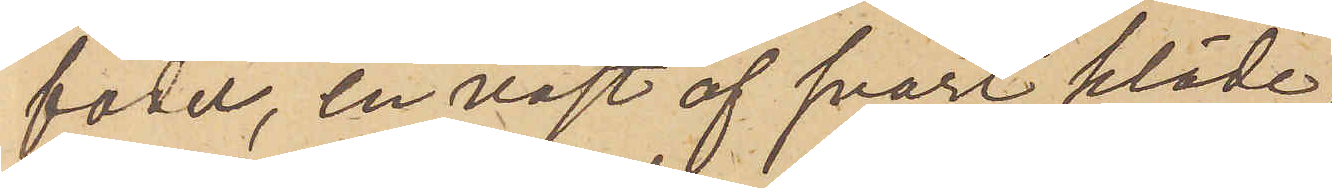foder, en väst af svart kläde,
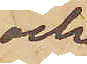och
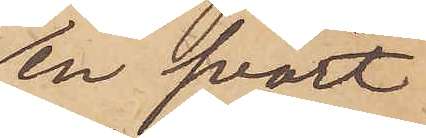en svart
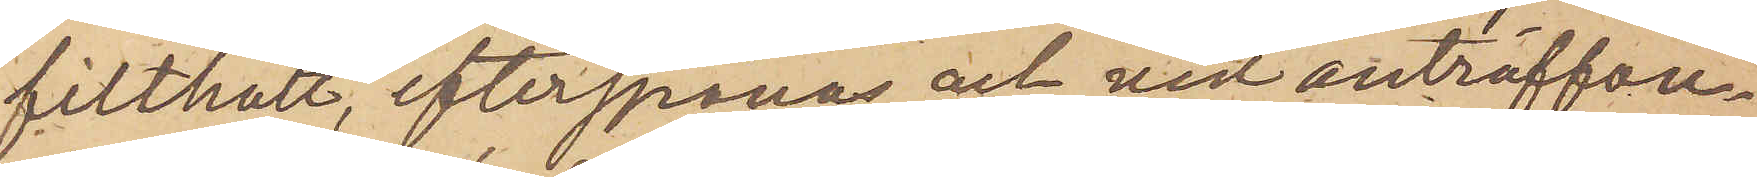filthatt, efterspanas och vid anträffan¬
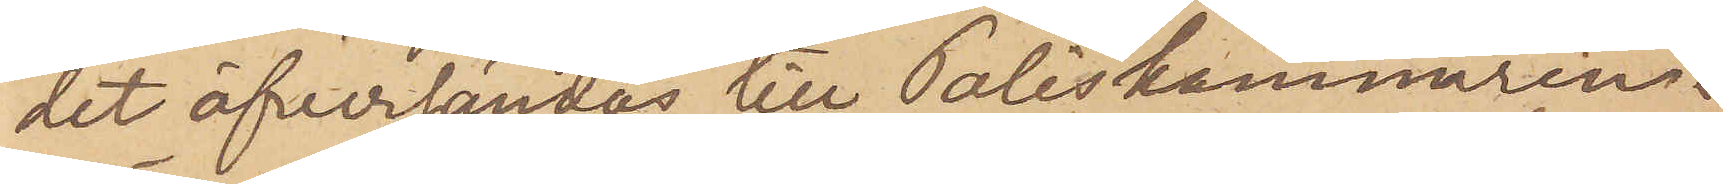det öfversändas till Poliskammaren i
